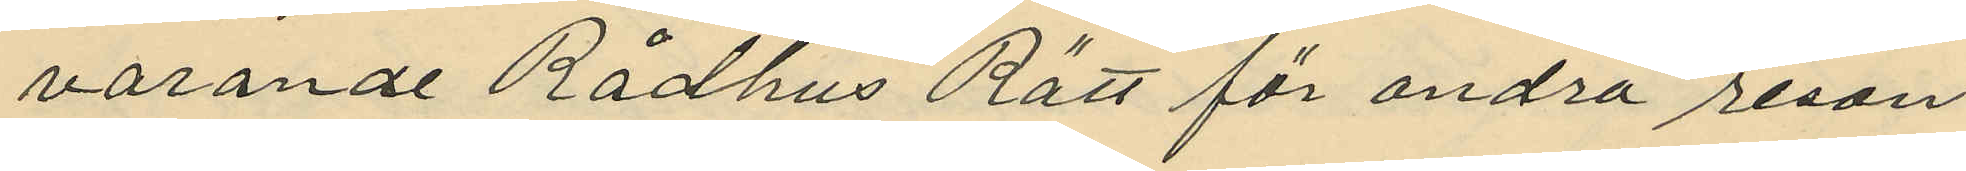varande Rådhus Rätt för andra resan
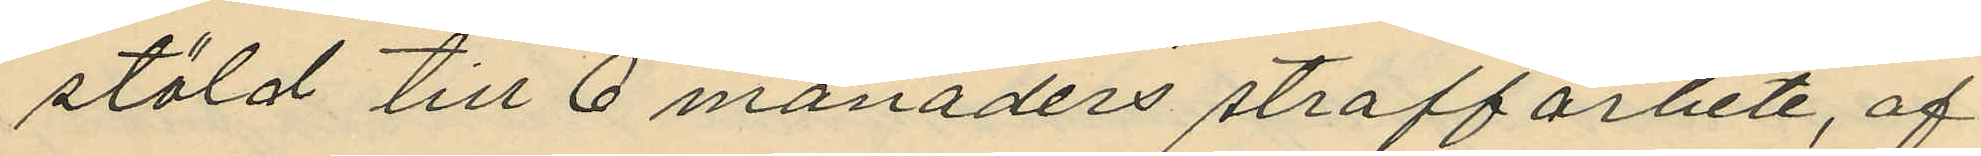stöld till 6 månaders straffarbete, af
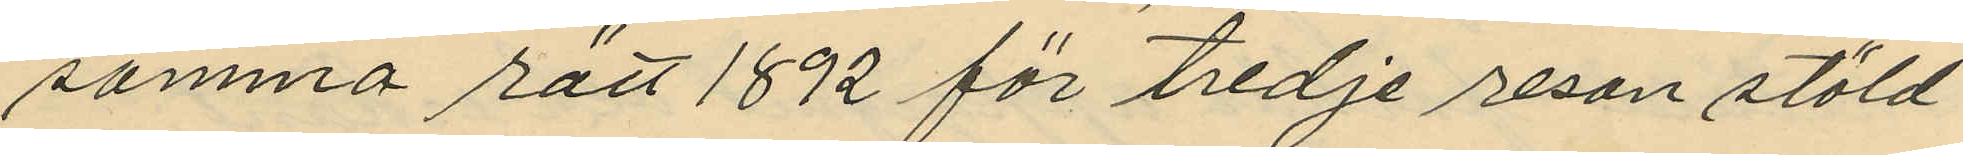samma rätt 1892 för tredje resan stöld
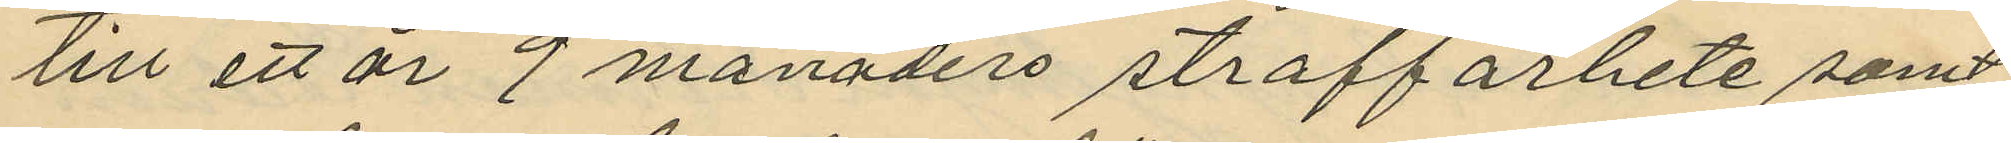till ett år 9 månaders straffarbete samt
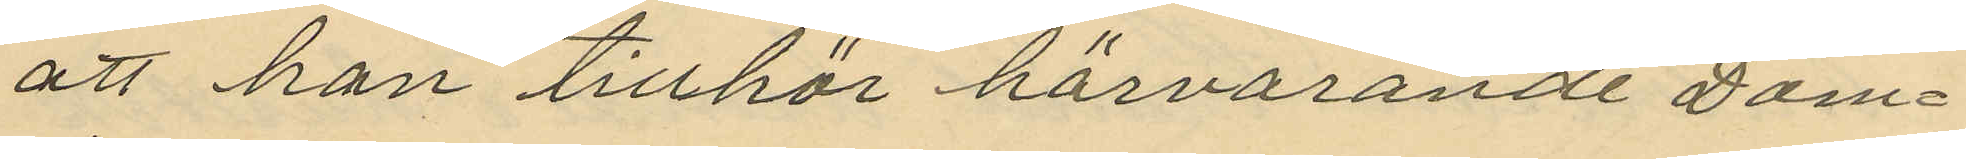att han tillhör härvarande Dom¬
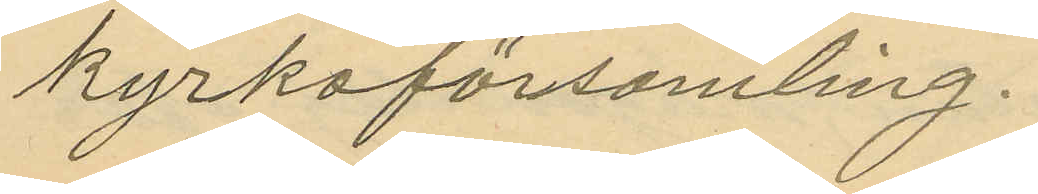kyrkoförsamling.
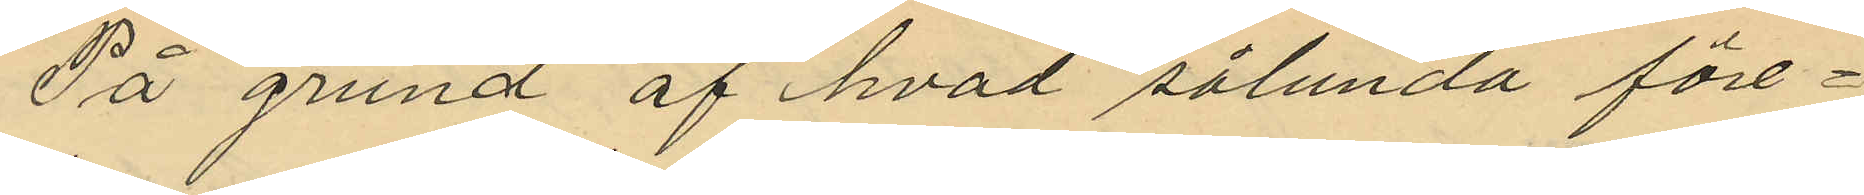På grund af hvad sålunda före¬
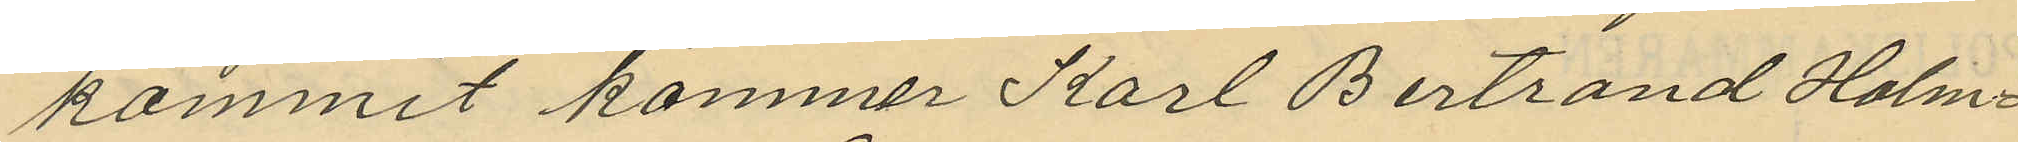kommit kommer Karl Bertrand Holm¬
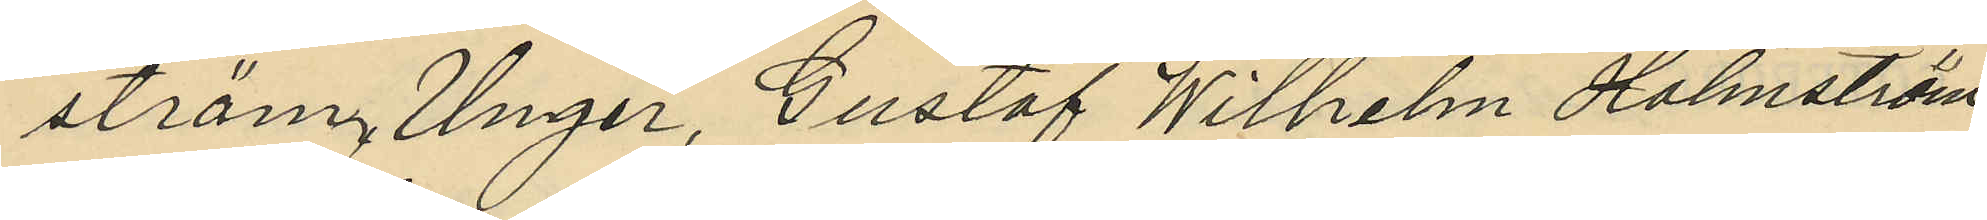ström Unger, Gustaf Wilhelm Holmström
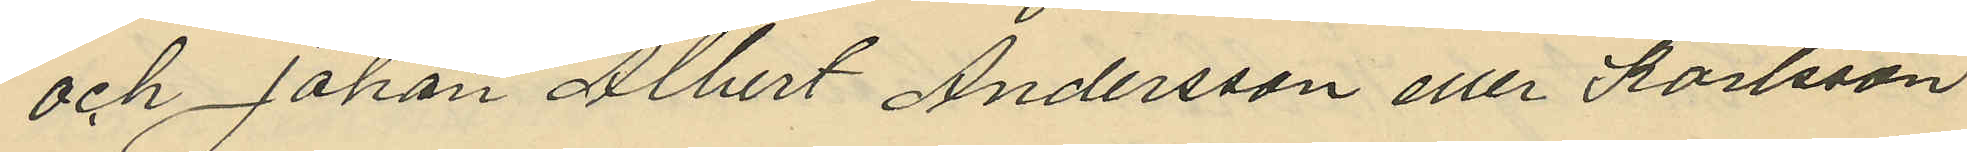och Johan Albert Andersson eller Karlsson
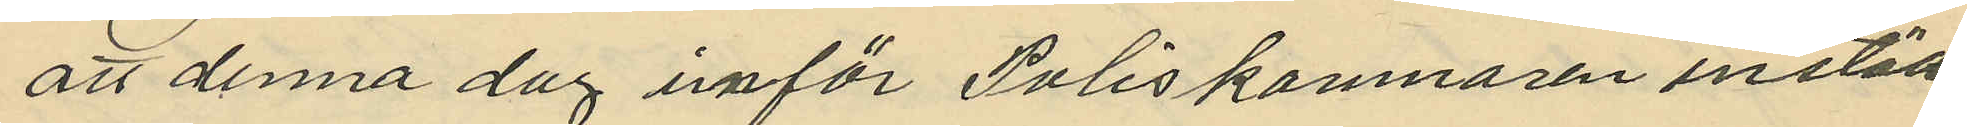att denna dag inför Poliskammaren instäl¬
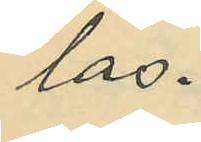las.
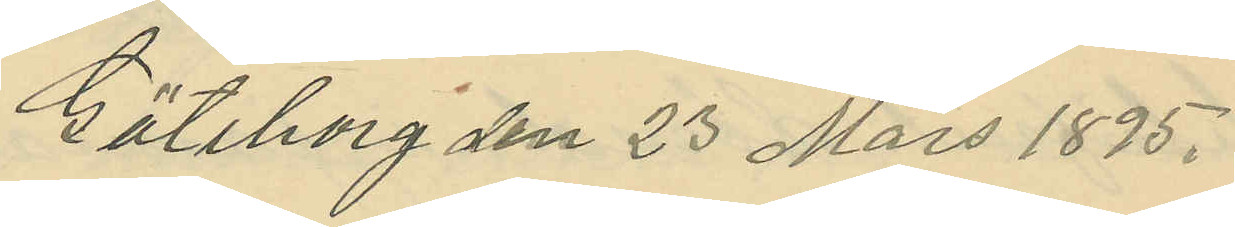Göteborg den 23 Mars 1895.
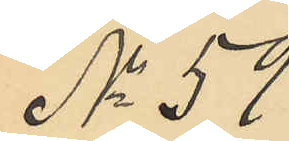No 59
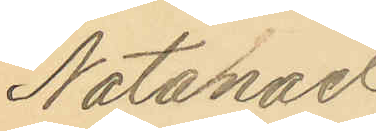Natanael
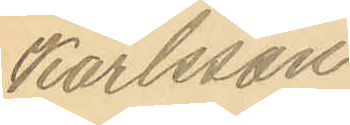Karlsson
